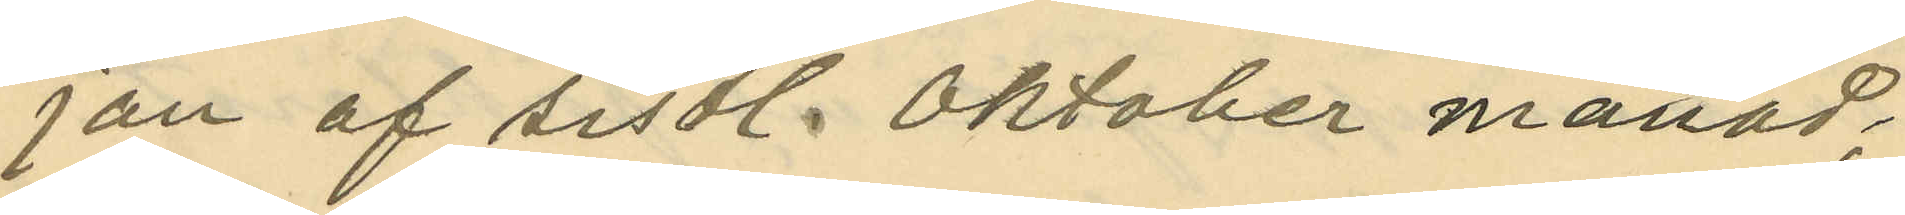jan af sistl. Oktober månad;
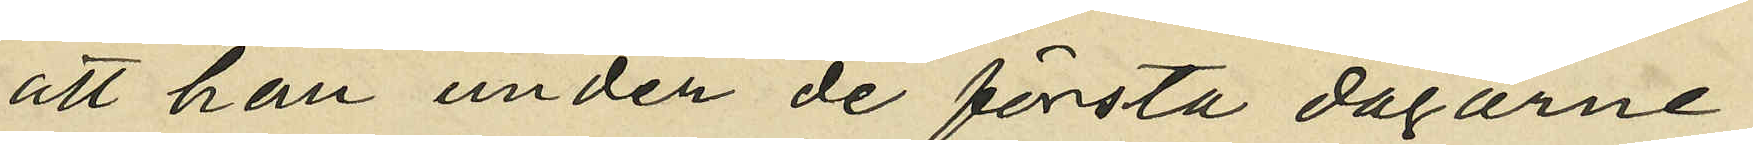att han under de första dagarne
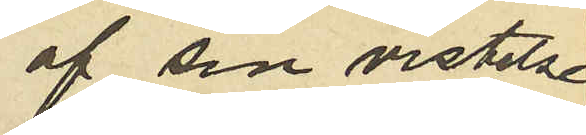af sin vistelse
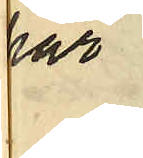här
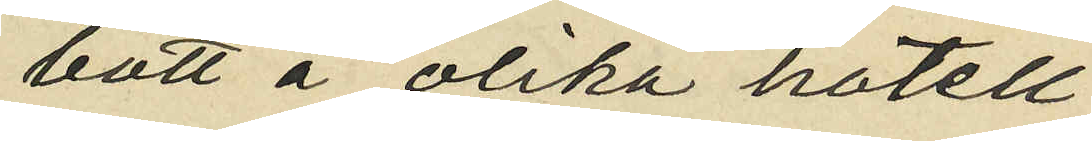bott å olika hotell
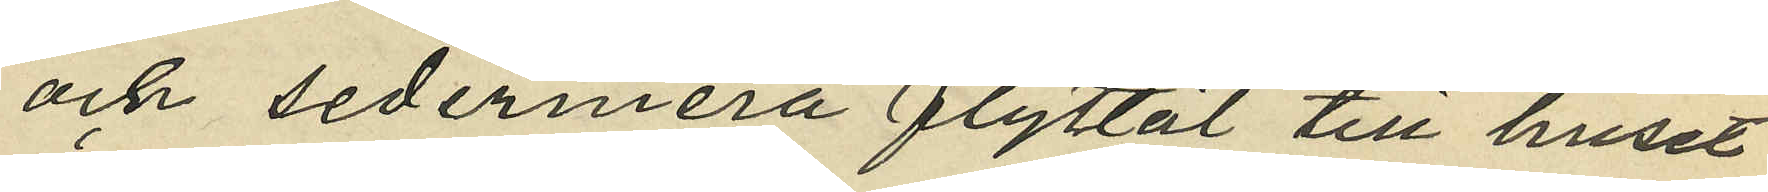och sedermera flyttat till huset
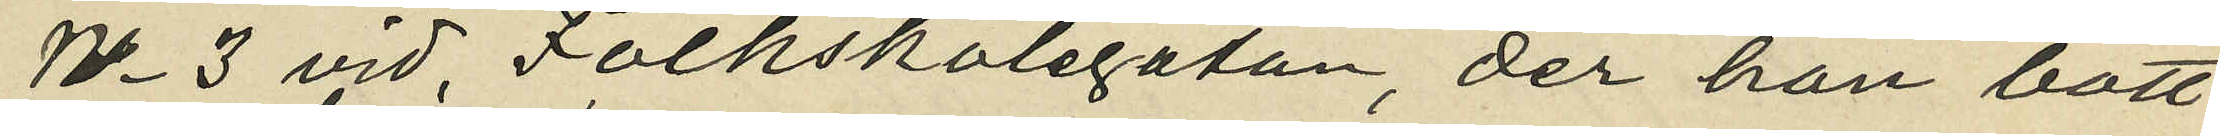No 3 vid Folkskolegatan, der han bott
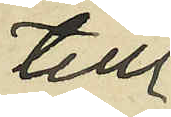till
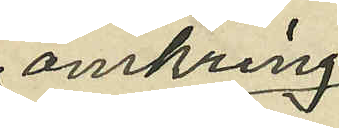omkring
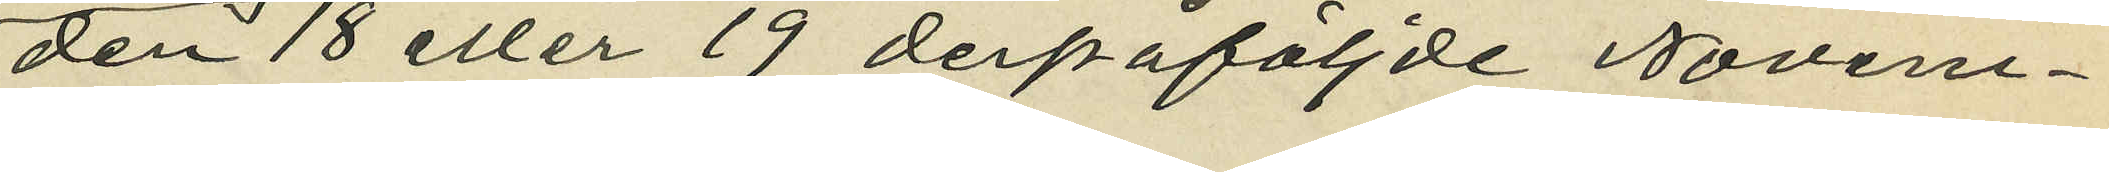den 18 eller 19 derpåföljde Novem¬
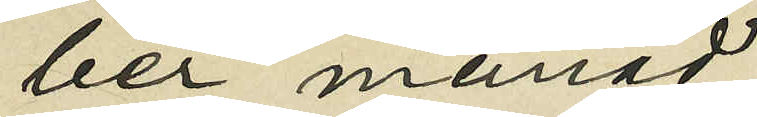ber månad;
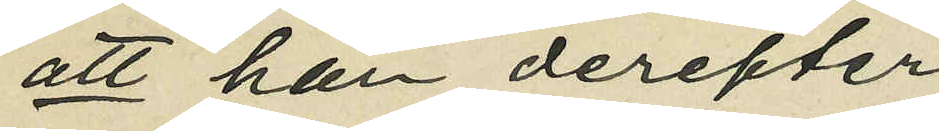att han derefter
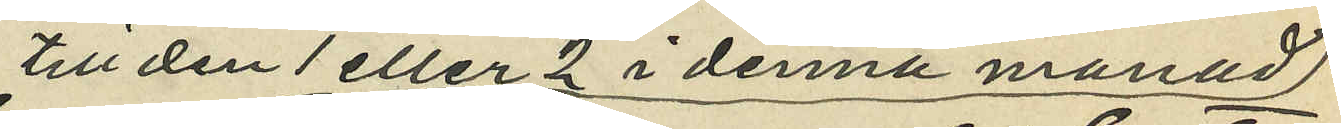till den 1 eller 2 i denna månad
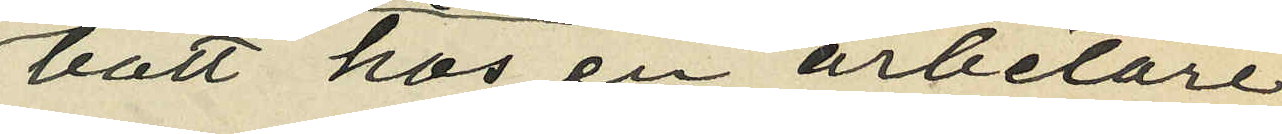bott hos en arbetare
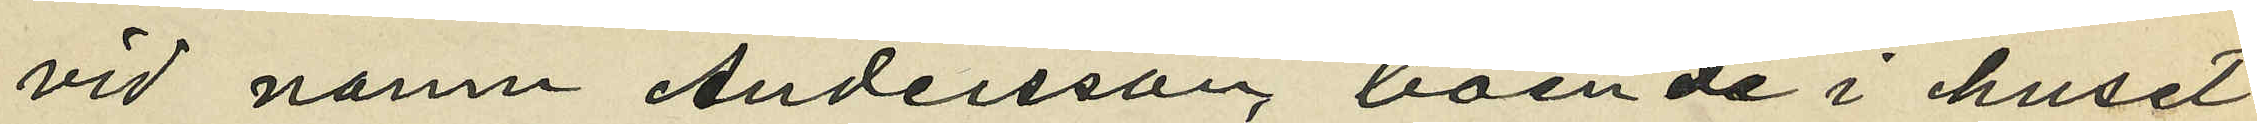vid namn Andersson boende i huset
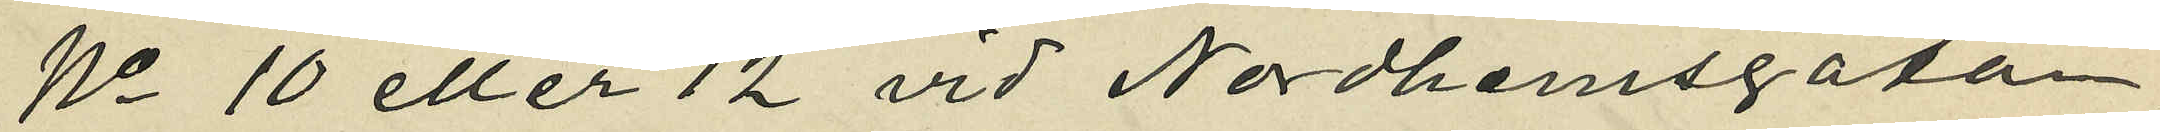No 10 eller 12 vid Nordhemsgatan;
